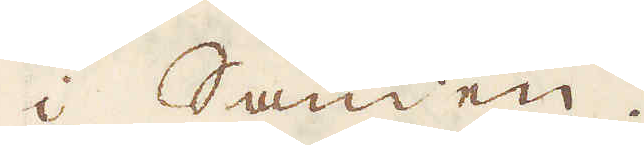i Sanden.
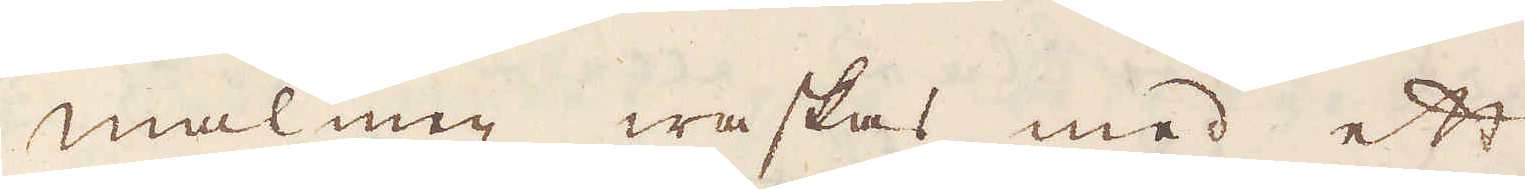Malmen waskas med ett
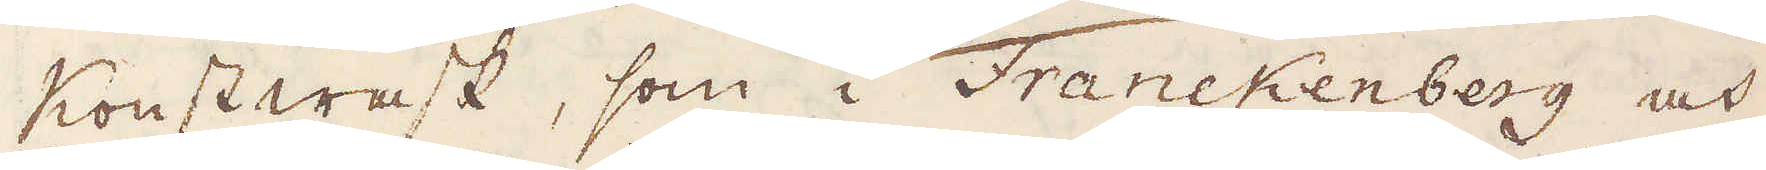Konstwask, som i Franckenberg och
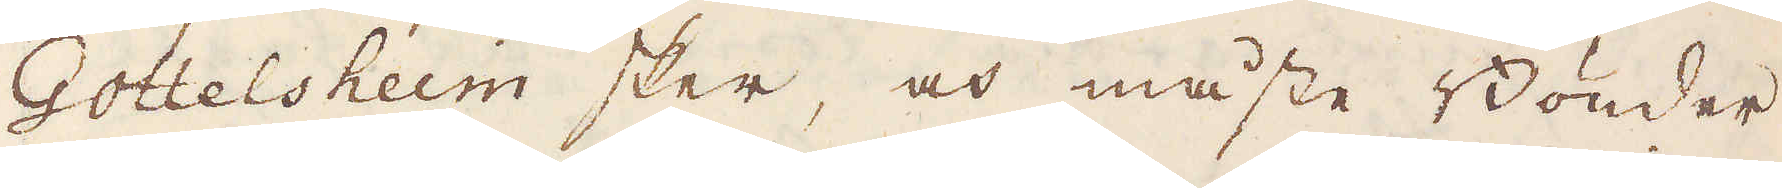Gottelsheim sker, och måste Bönder-
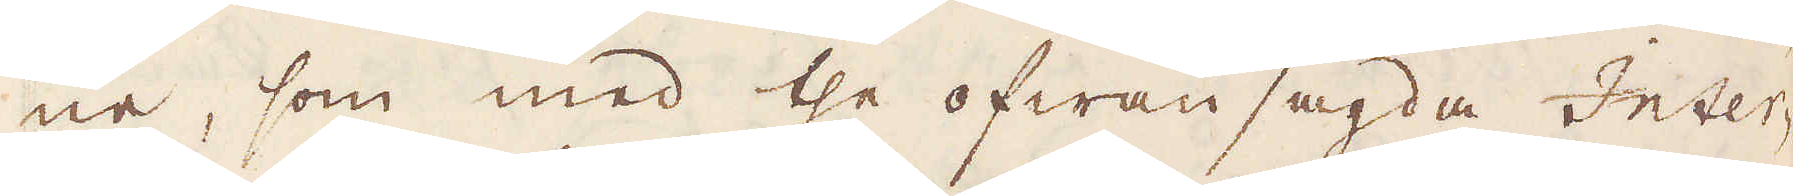ne, som med the ofwansagda Inter-
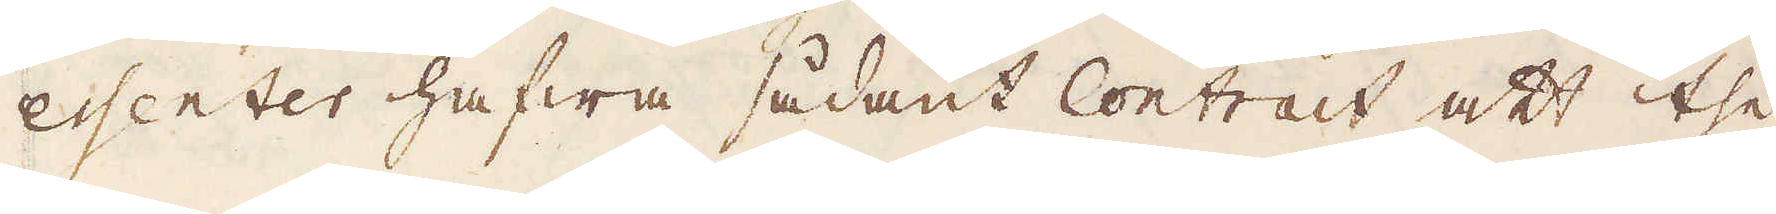essenter hafwa sådant Contrait att the
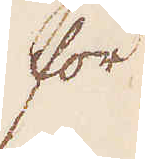för
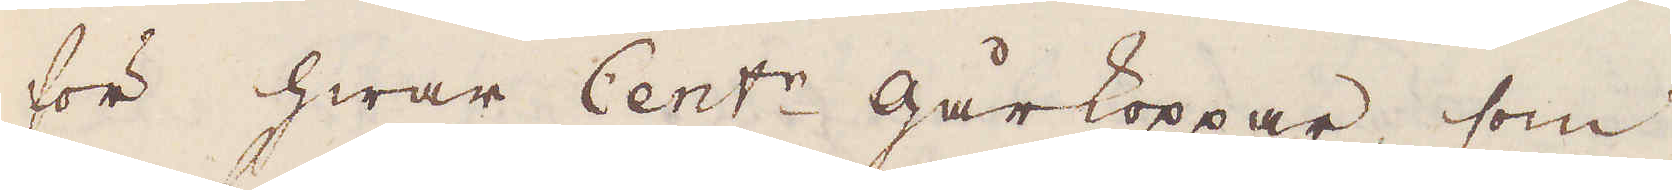för hwar Cent:r gårkoppar, som
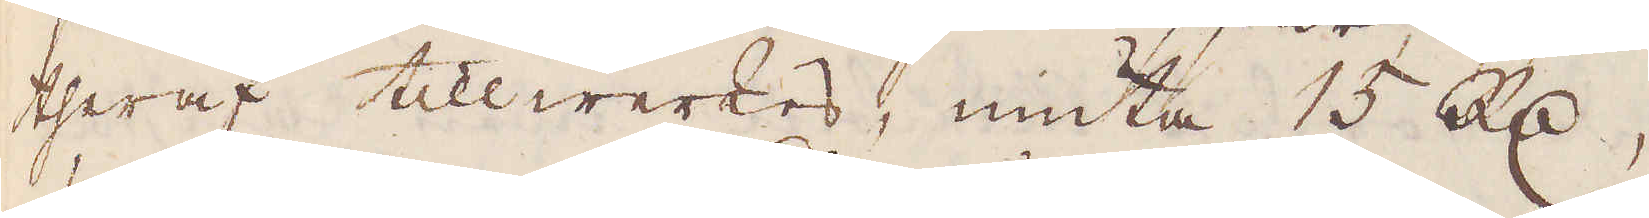theraf tillwerkas, niuta 15 R:dr,
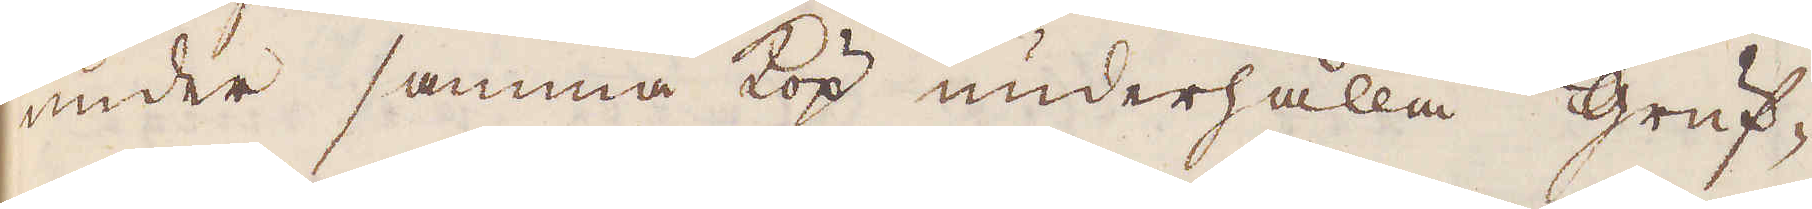under samma köp underhålla gruf-
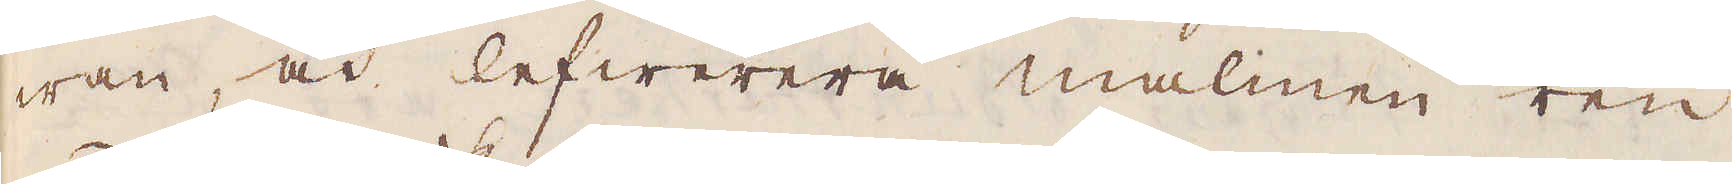wan, och lefwerera malmen ren
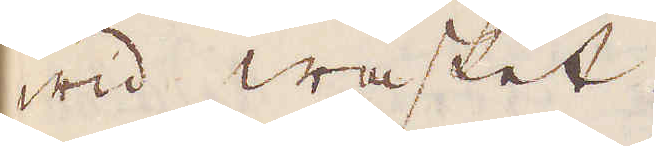wid wasket.
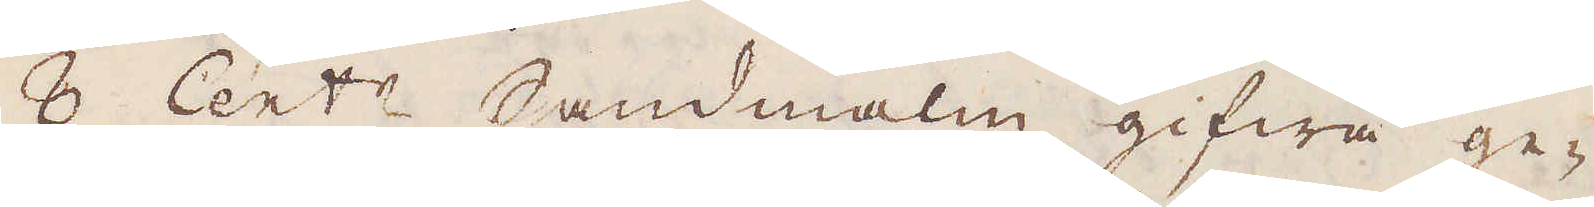8 Cent:r Sandmalm gifwa ge-
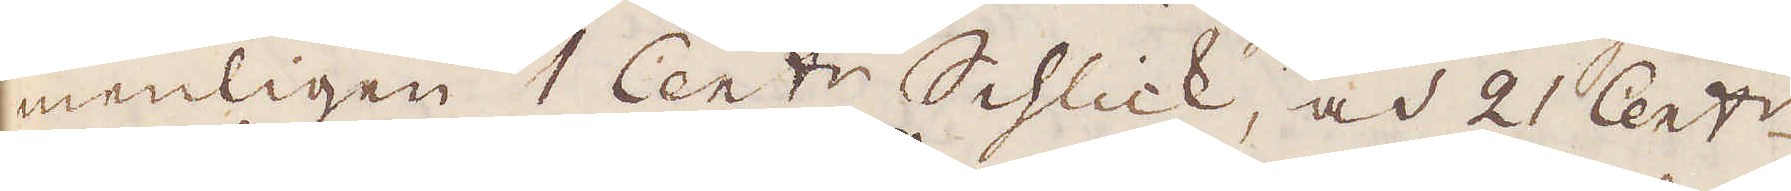menligen 1 Cent:r Schlick, och 21 Cent:r.
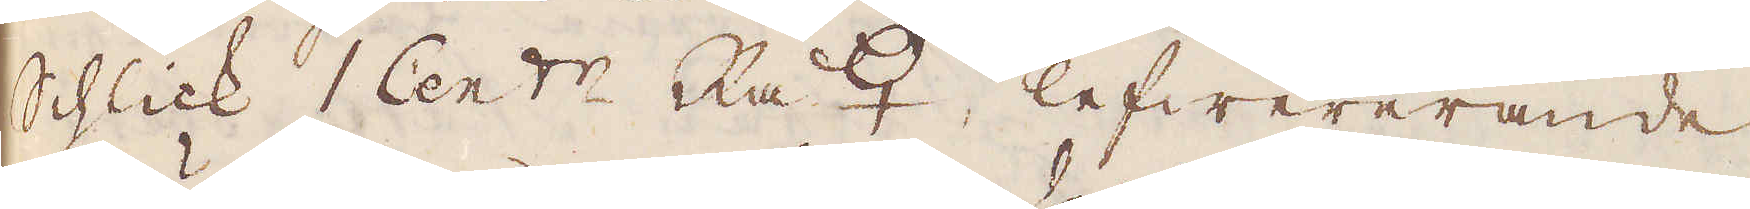Schlick 1 Cent:r Rå ♀ lefwererande
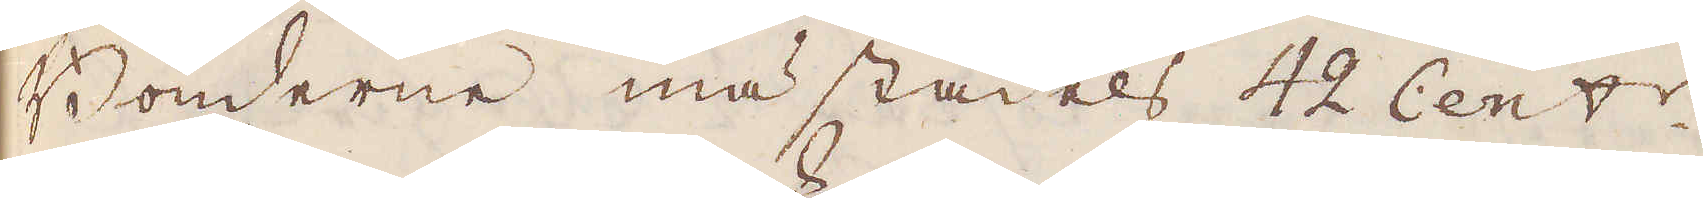Bönderne mästadels 42 Cent:r
